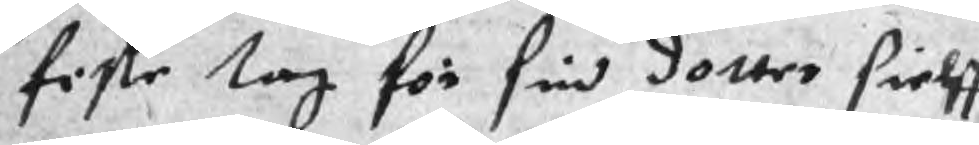fiste lag för sin dotter sielff
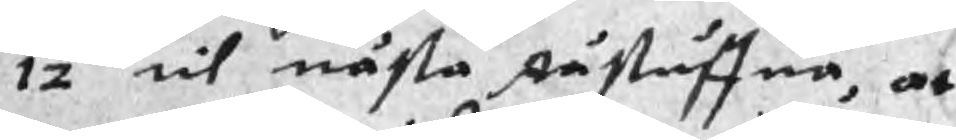12 til nästa Råstuffua, at
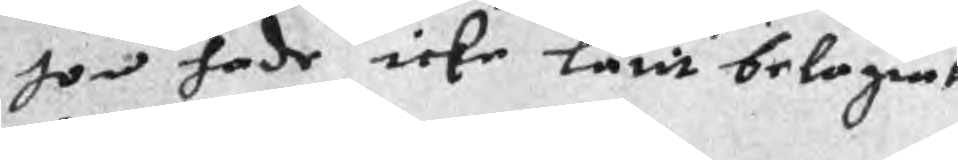hon hade icke låtit belagret
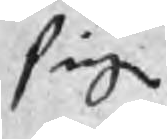sig
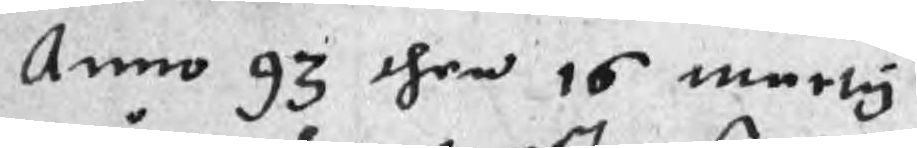Anno 93 then 15 marty
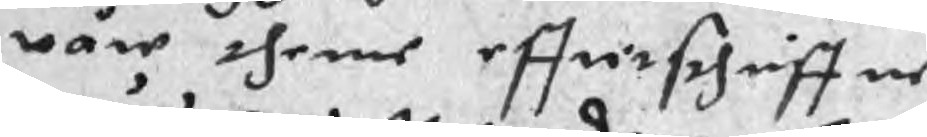wåre thenne efftirschriffne
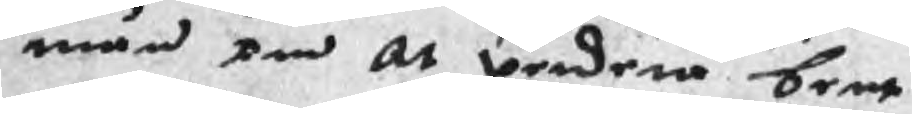män om at werdera bent
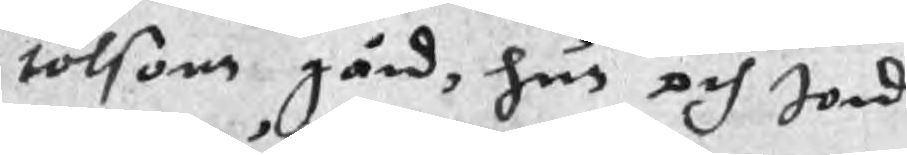tolsons gård, hus och Jord
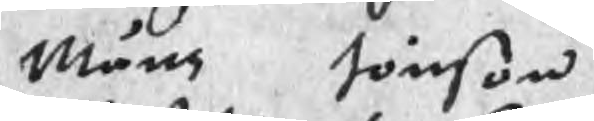Måns Jönson
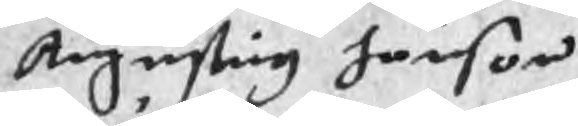Augustig Jonson
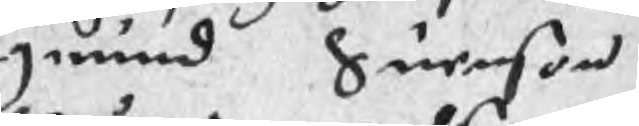grund Suenson
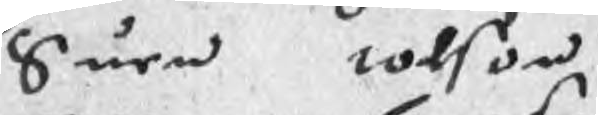Suen tolson
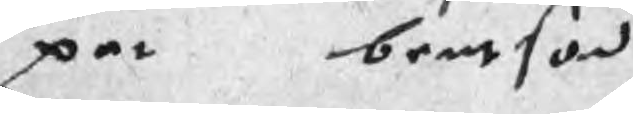par bentson
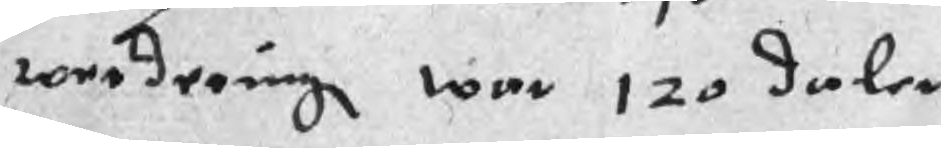werderung war 120 daler
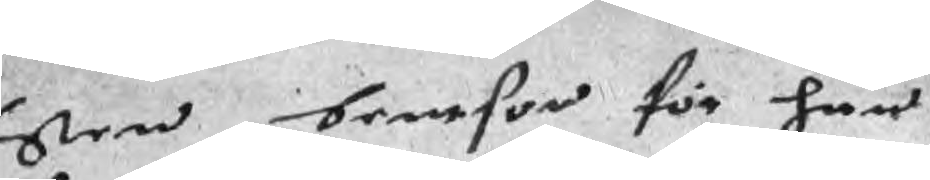Sten bentson för han
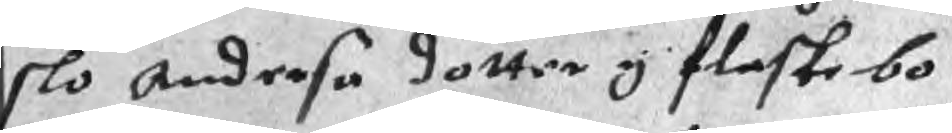slo Andersa dotter i flaskebo
